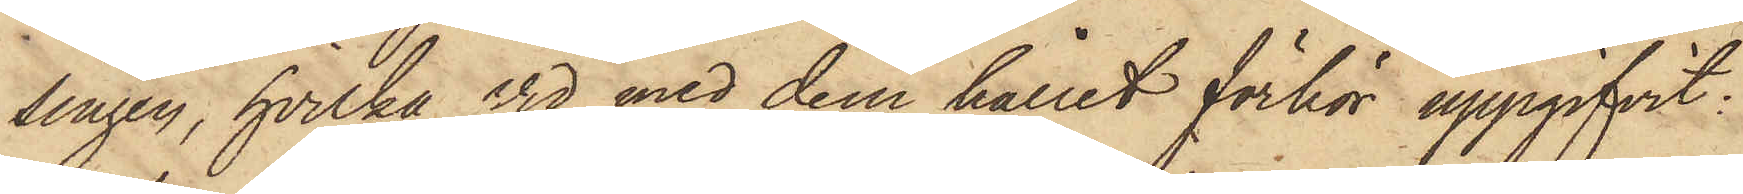singen, hvilka vid med dem hållit förhör uppgifvit:
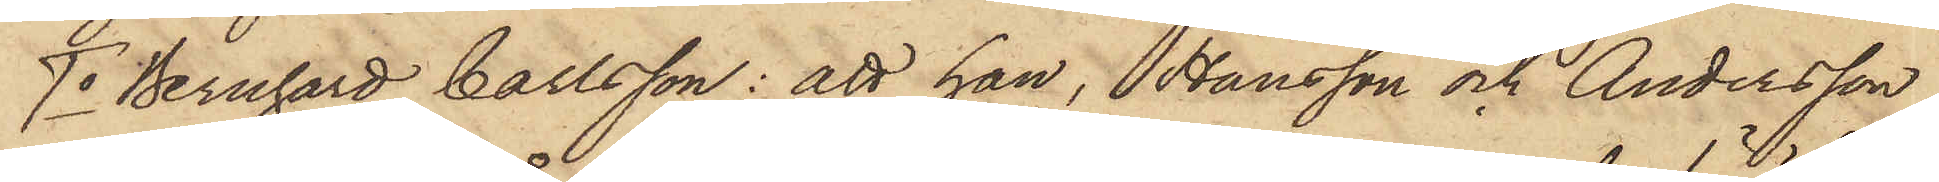1o Bernhard Carlsson: att han, Hansson och Andersson
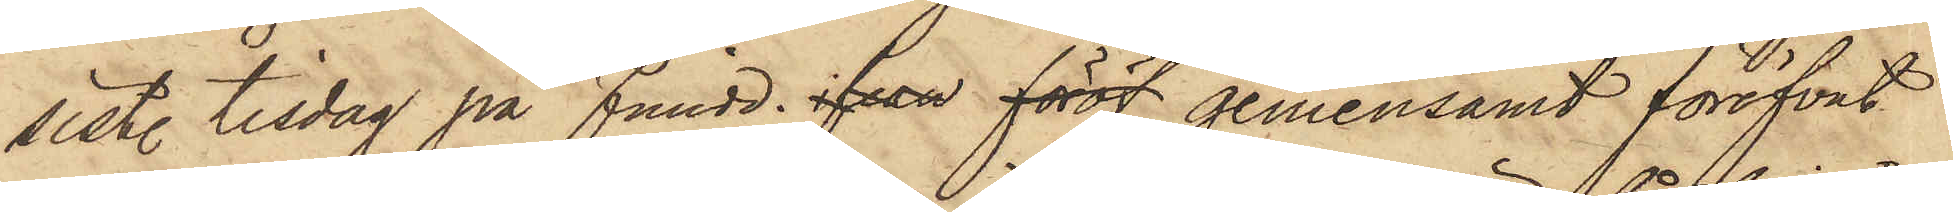sist. tisdag på Fmidd., ifran föröf gemensamt föröfvat
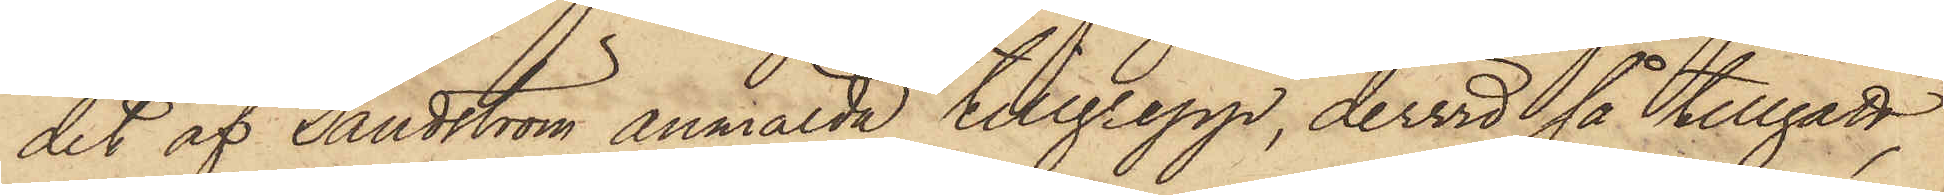det af Sandström anmälda tillgrepp, dervid så tillgått,
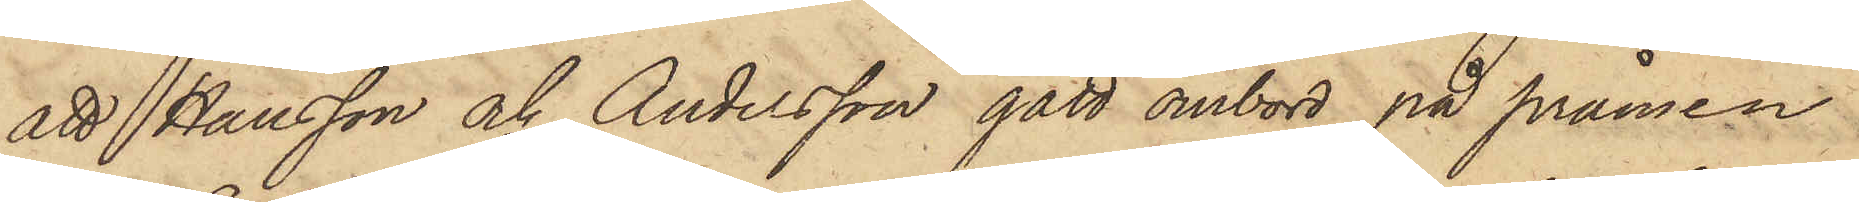att Hansson och Andersson gått ombord på pråmen
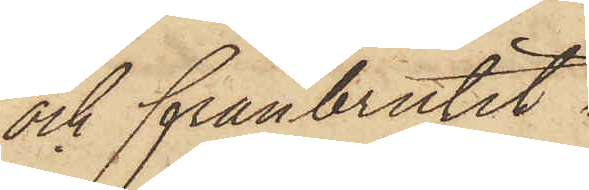och frånbrutit
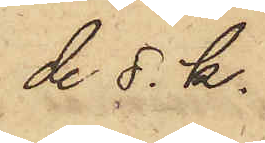de s. k.
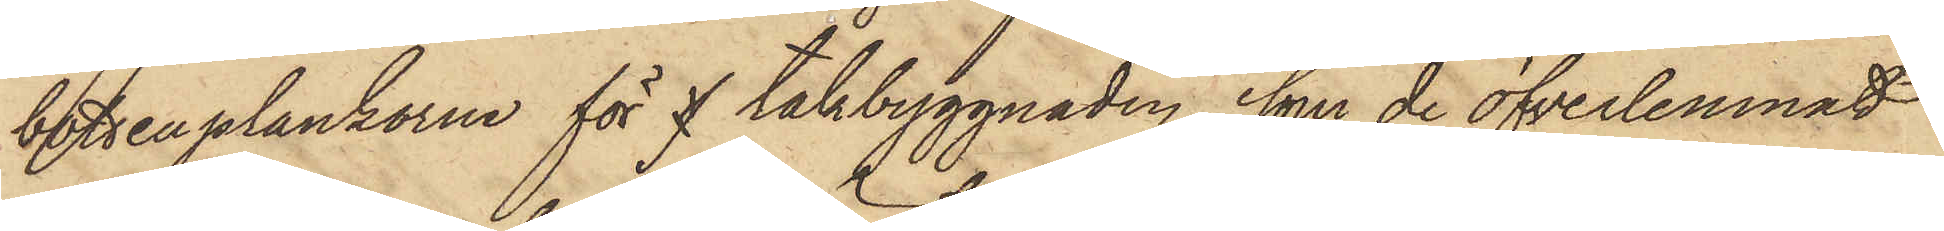bottenplankorna för f takbyggnaden, som de öfverlemnat
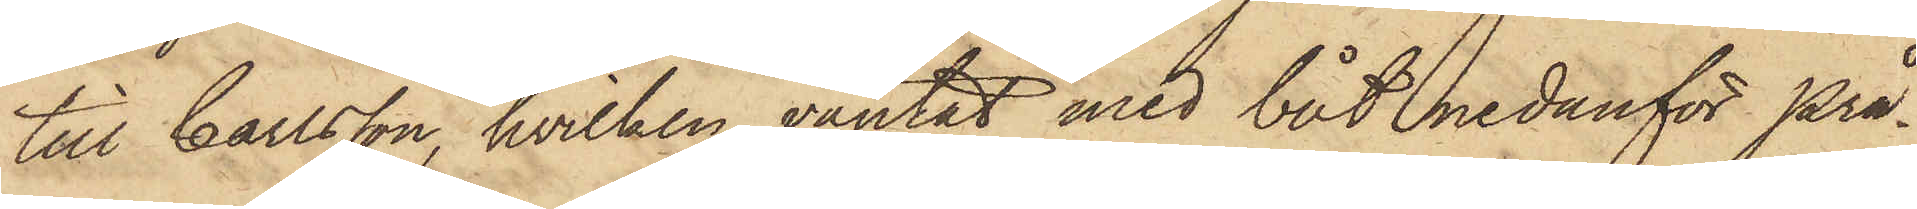till Carlsson, hvilken väntat med båt nedanför prå¬
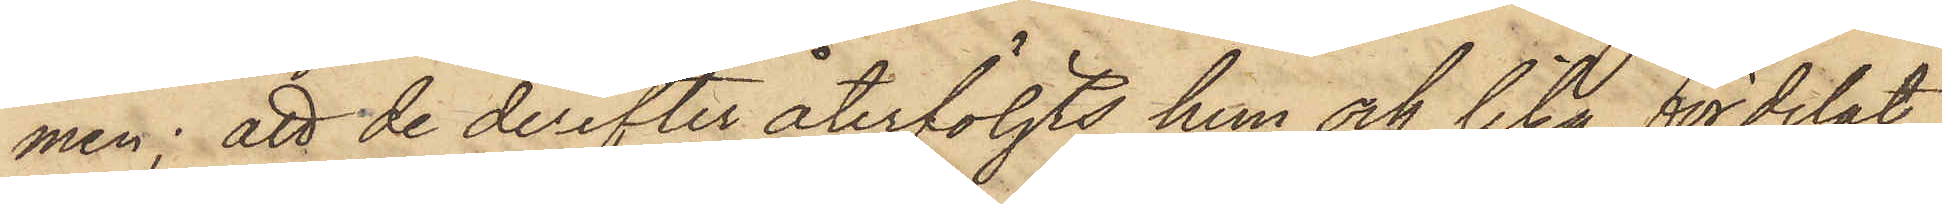men; att de derefter återföljts hem och lika fördelat
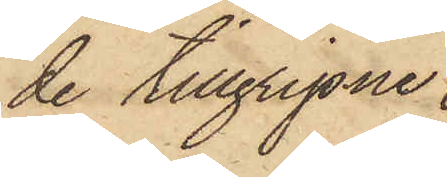de tillgripne
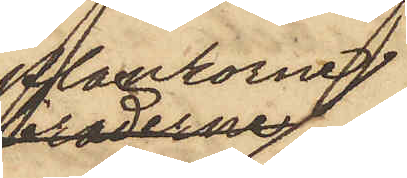plankorna,
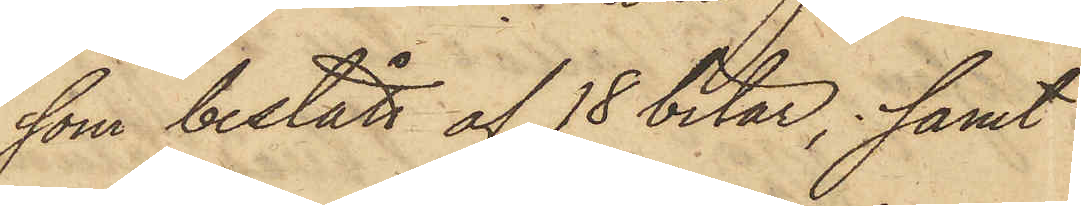som bestått af 18 bitar, samt
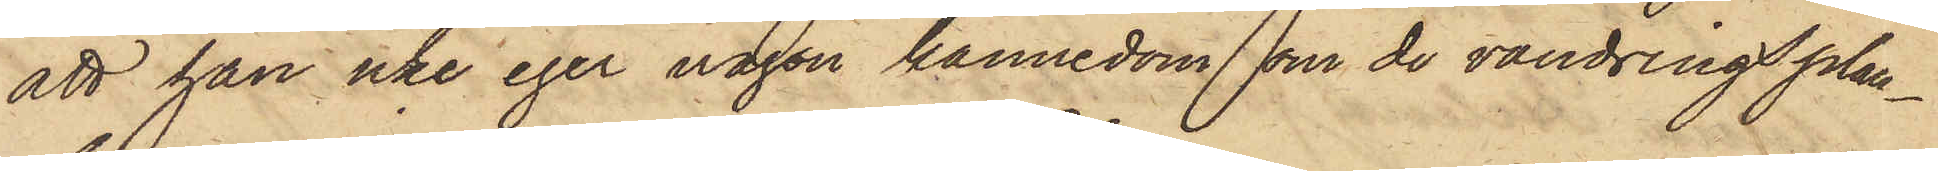att han icke eger någon kännedom om de vandringsplan¬
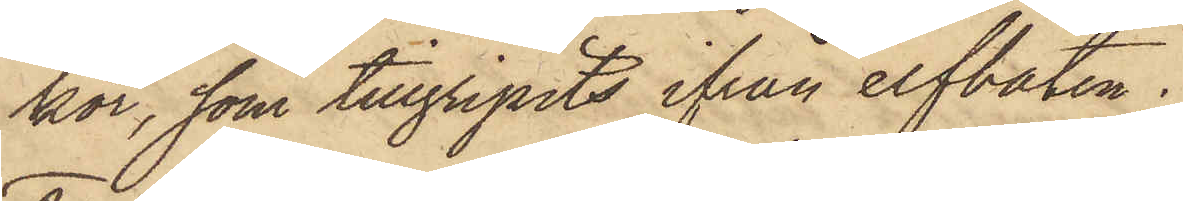kor, som tillgripits ifrån elfbåten.
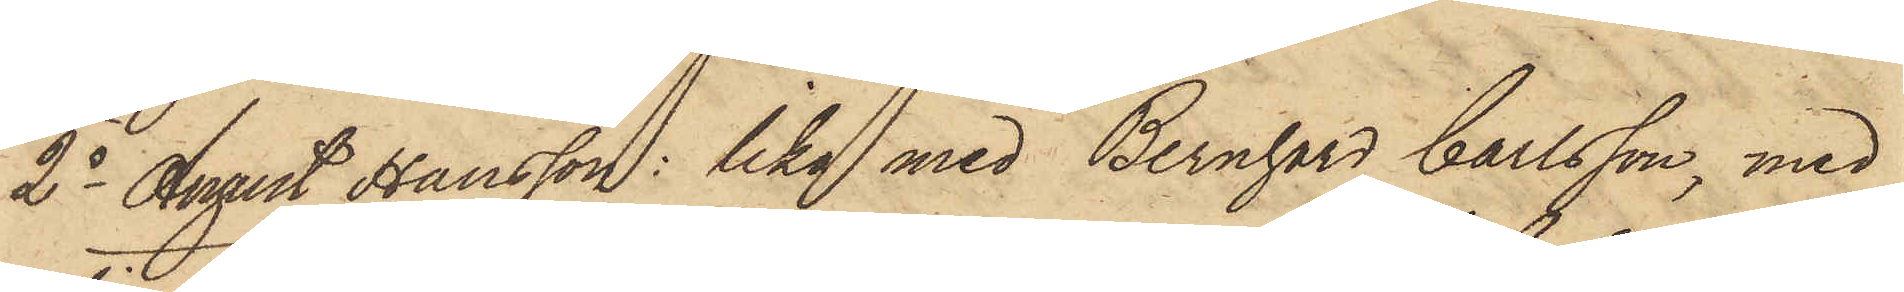2o August Hansson: lika med Bernhard Carlsson, med
